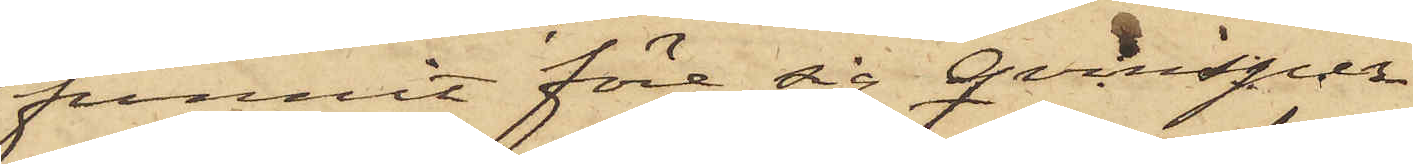funnit före sig qvinsper¬
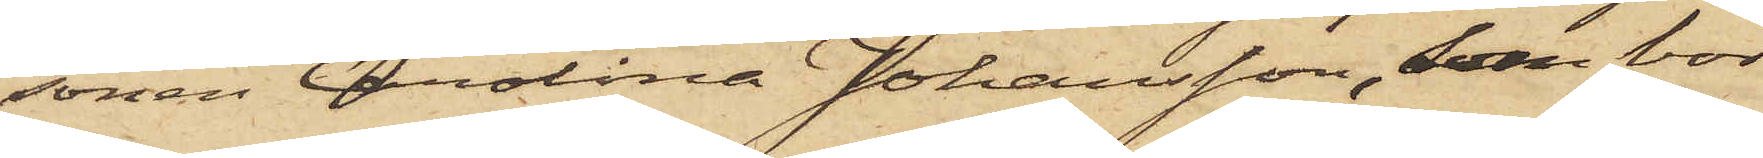sonen Carolina Johansson, som bor
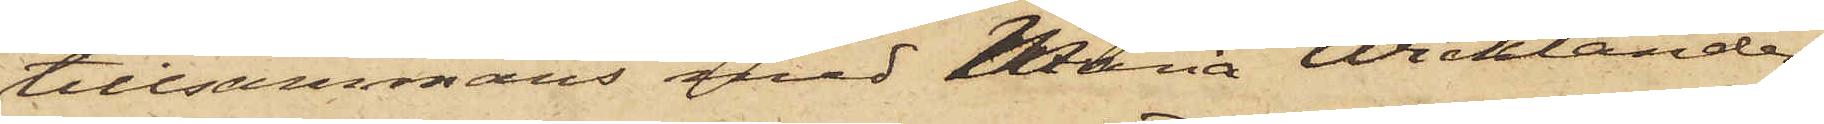tillsammans med Maria Wicklander,
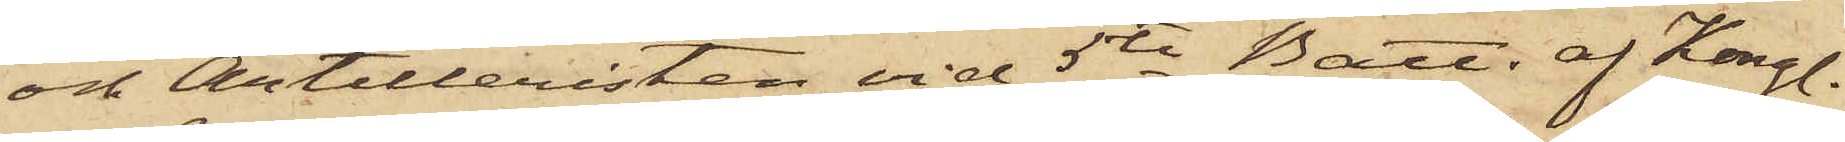och Artilleristen vid 5te Batt. af Kongl.
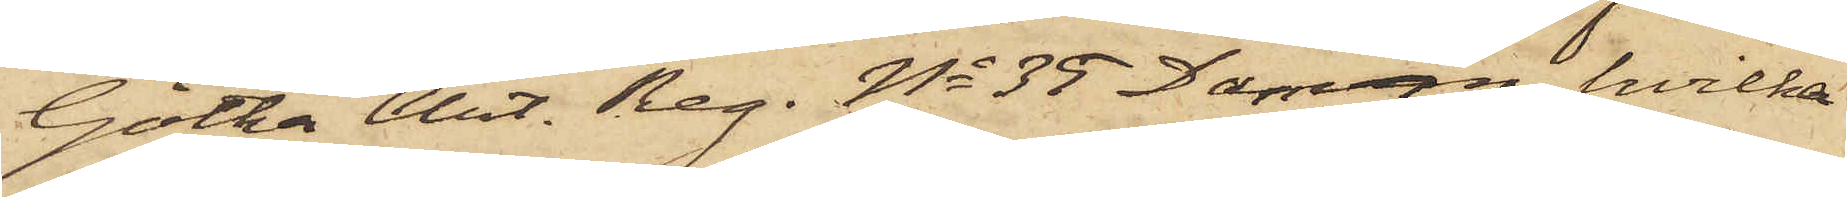Götha Art. Reg. No 35 Damm, hvilka
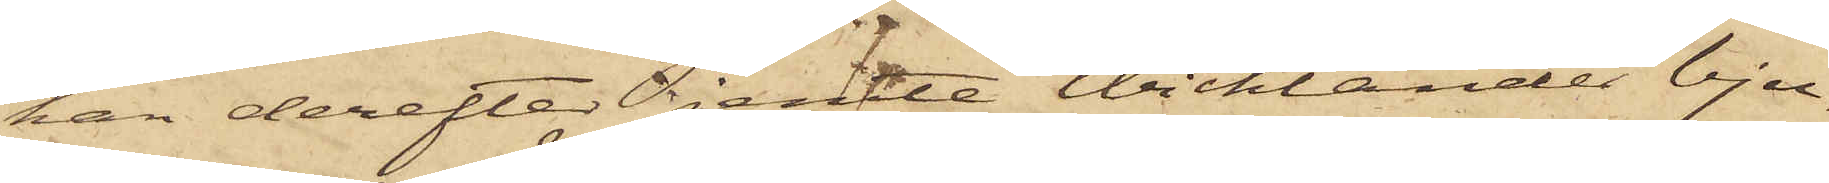han derefter jemte Wicklander bju¬
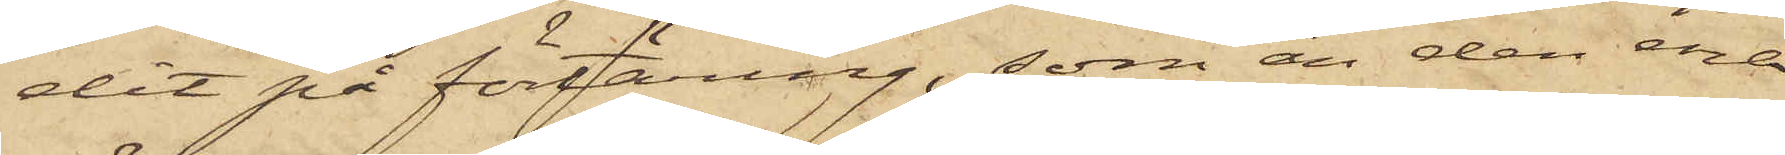dit på förtäring, som än den ena
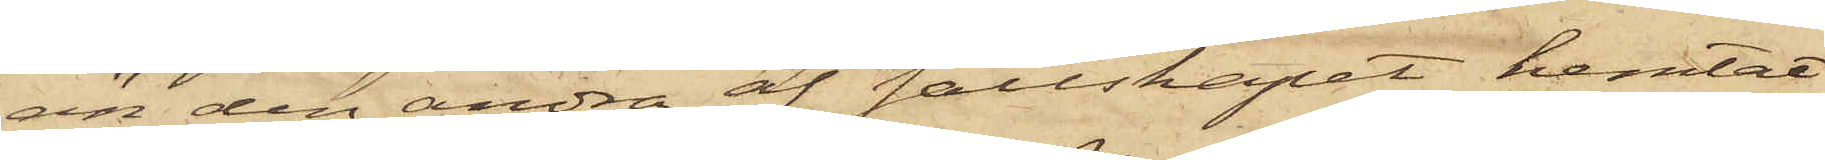än den andra af sällskapet hemtat
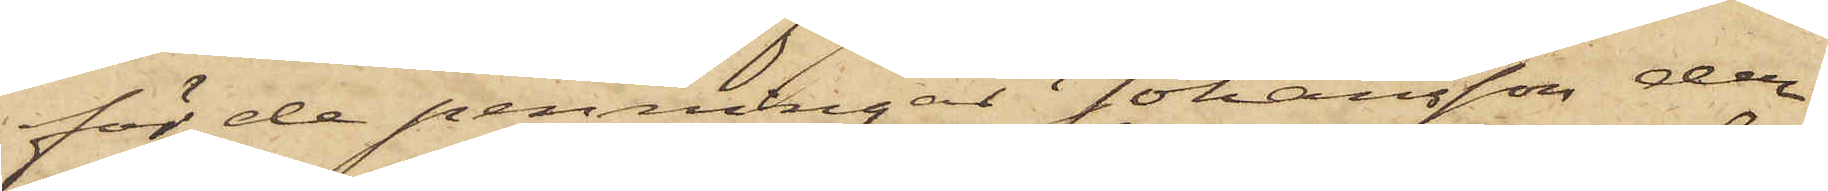för de penningar Johansson der¬
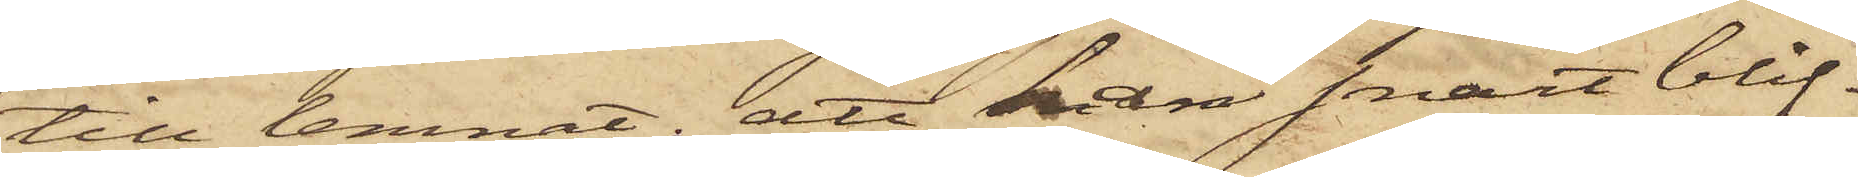till lemnat; att han snart blif¬
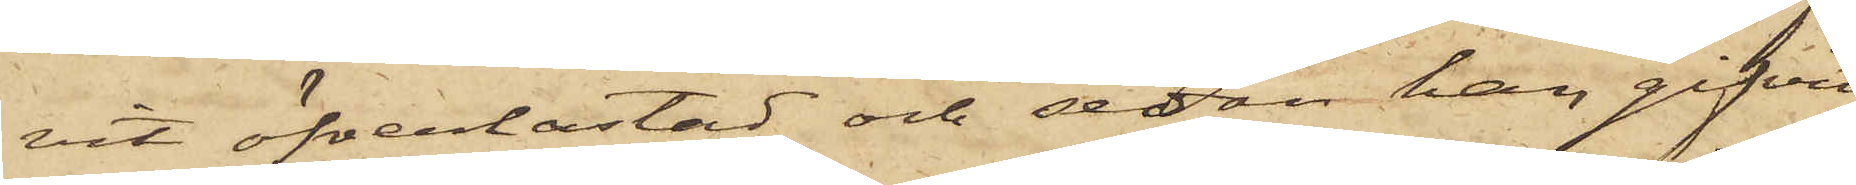vit öfverlastad och sedan han gifvit
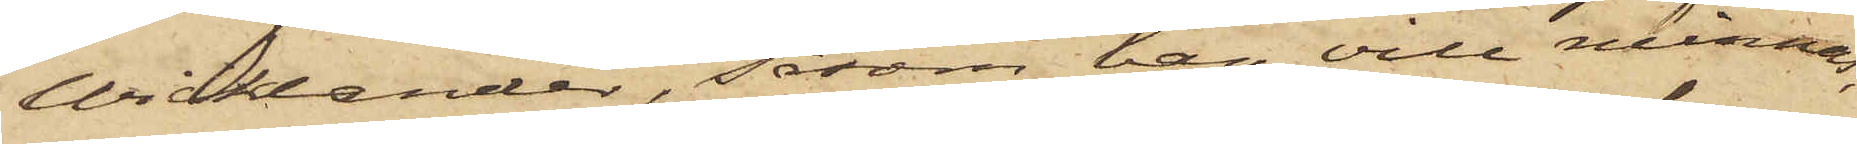Wicklander, såsom han vill minnas,
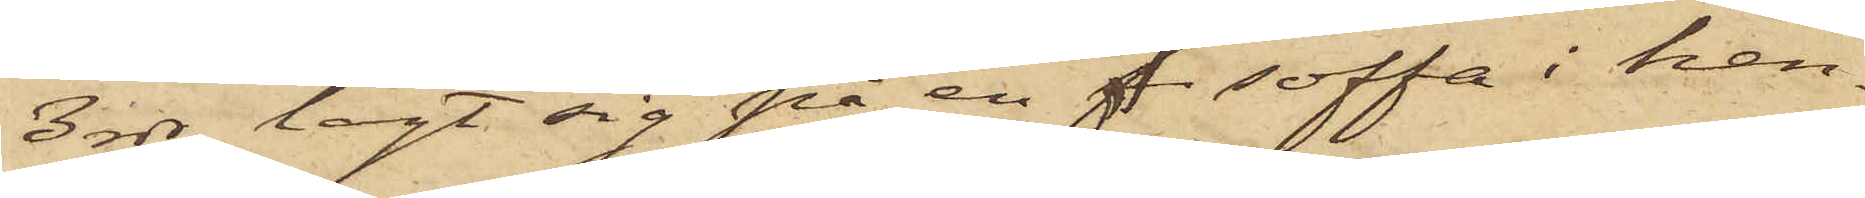3 rdr, lagt sig på en f soffa i hen¬
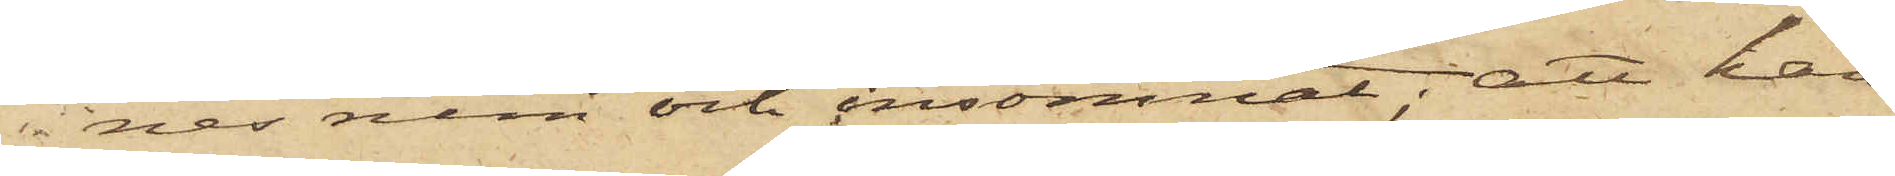nes rum och insomnat; att han
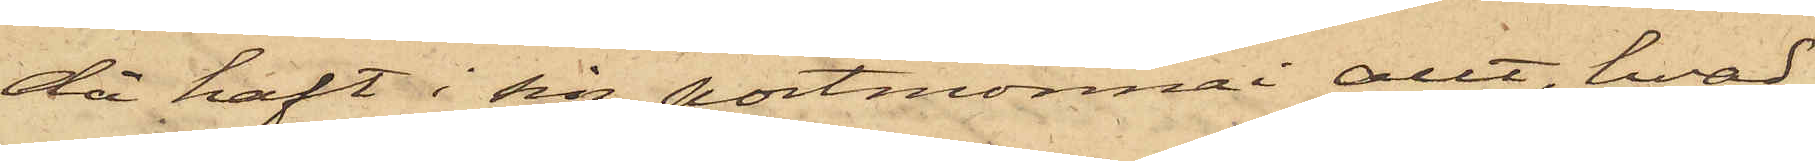då haft i sin portmonnai allt, hvad
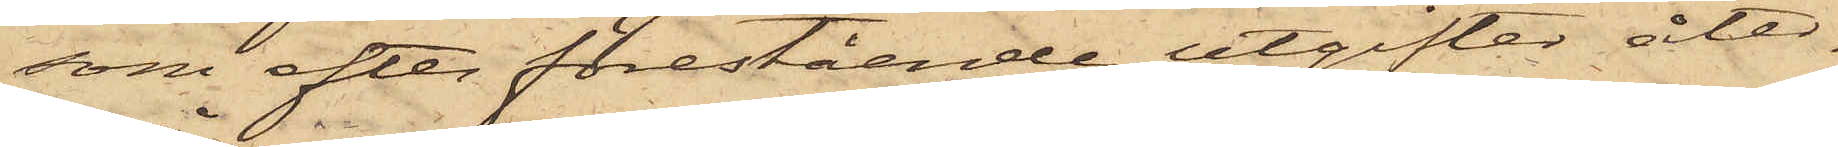som efter förestående utgifter åter¬
